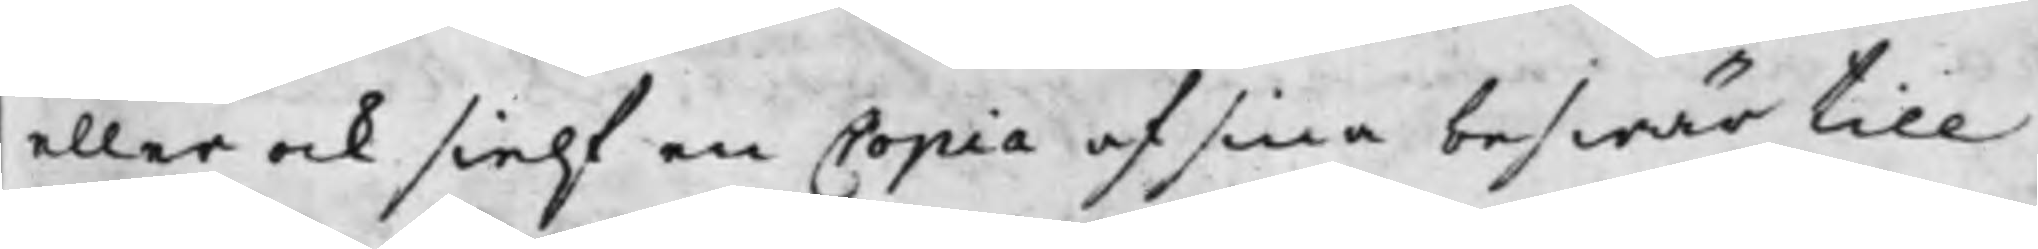eller och sielf en Copia af sina beswär till
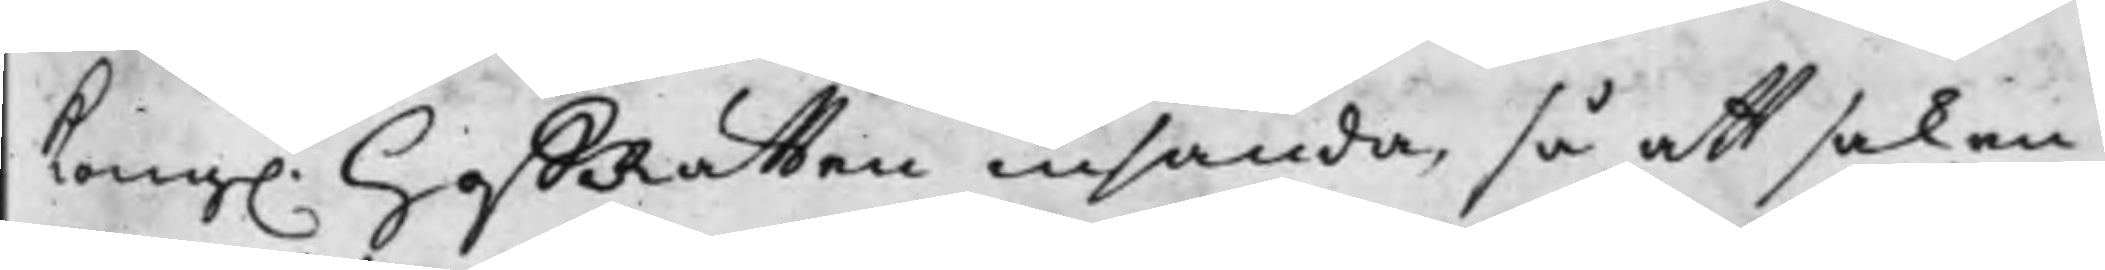Kong. HoffRätten insända, så att saken 
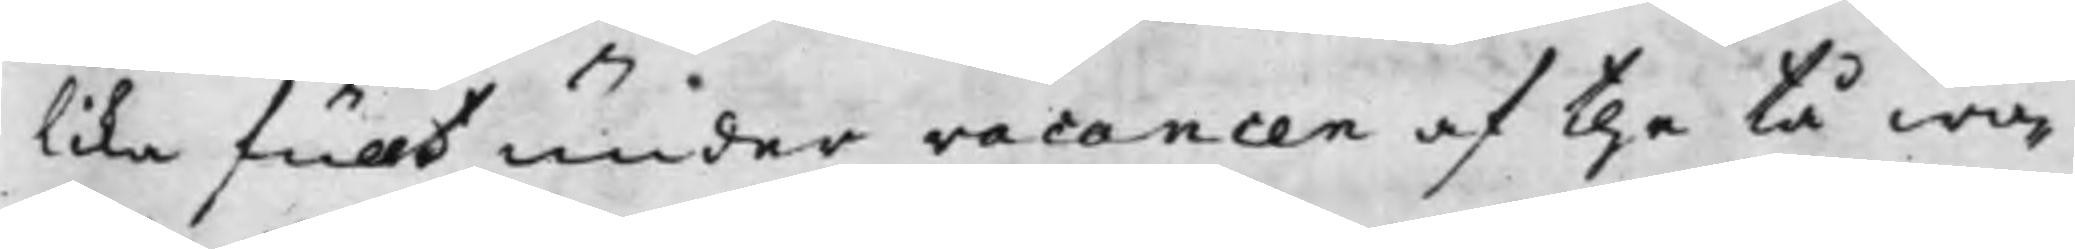lika fullt under vacancen af the tå wa¬
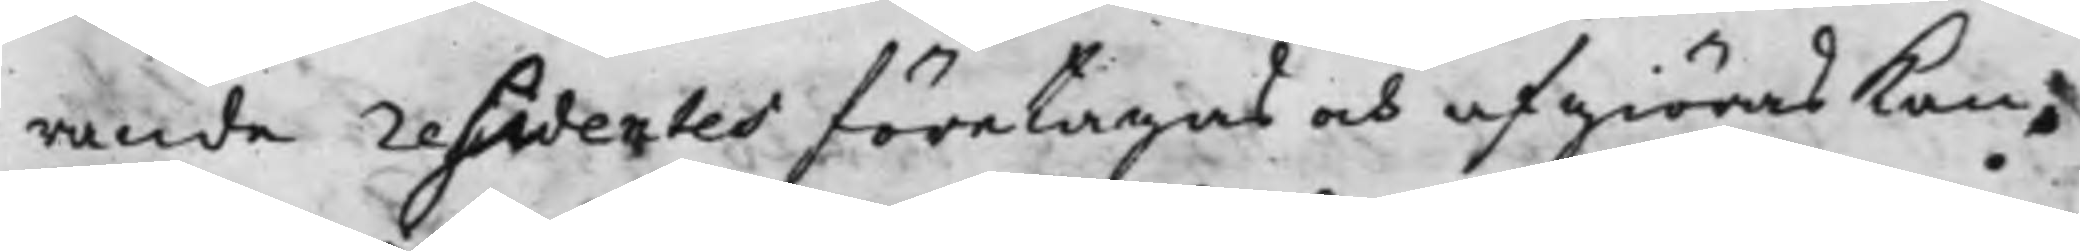rande residentes företagas och afgiöras kan;
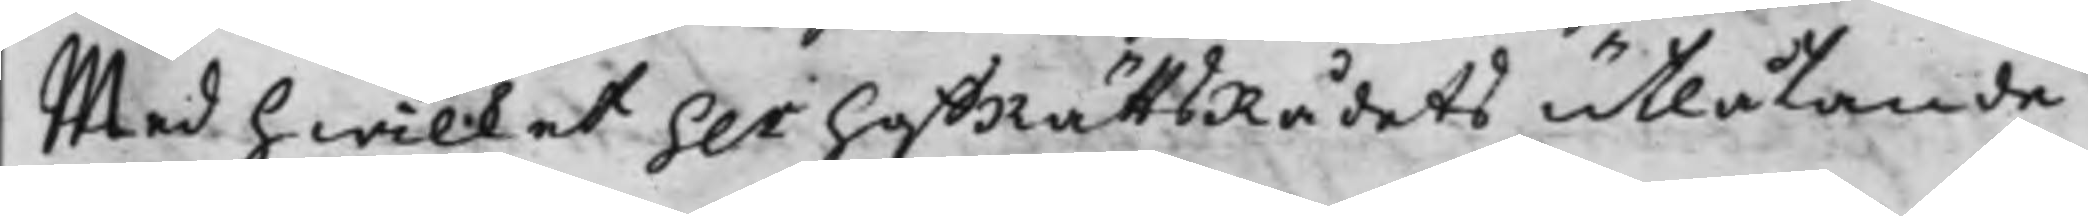Med hwilket h.r HoffRättsRådets utlåtande
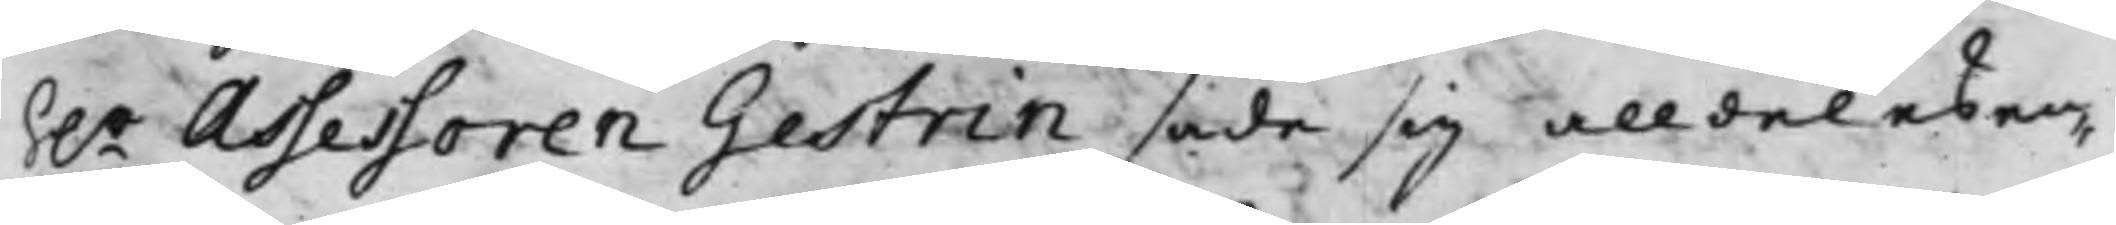h.r Assessoren Gestrin sade sig alldeles en¬
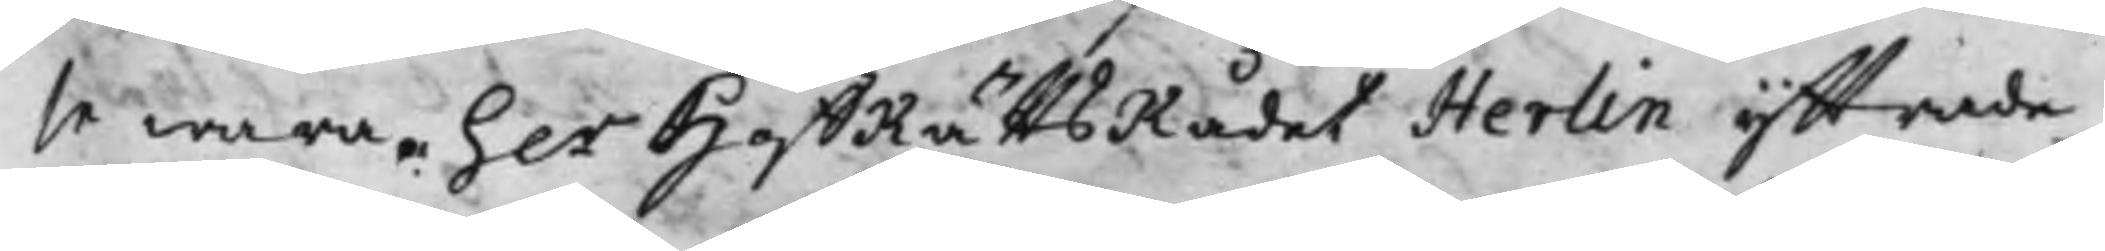se wara. h.r HoffRättsRådet Herlin yttrade
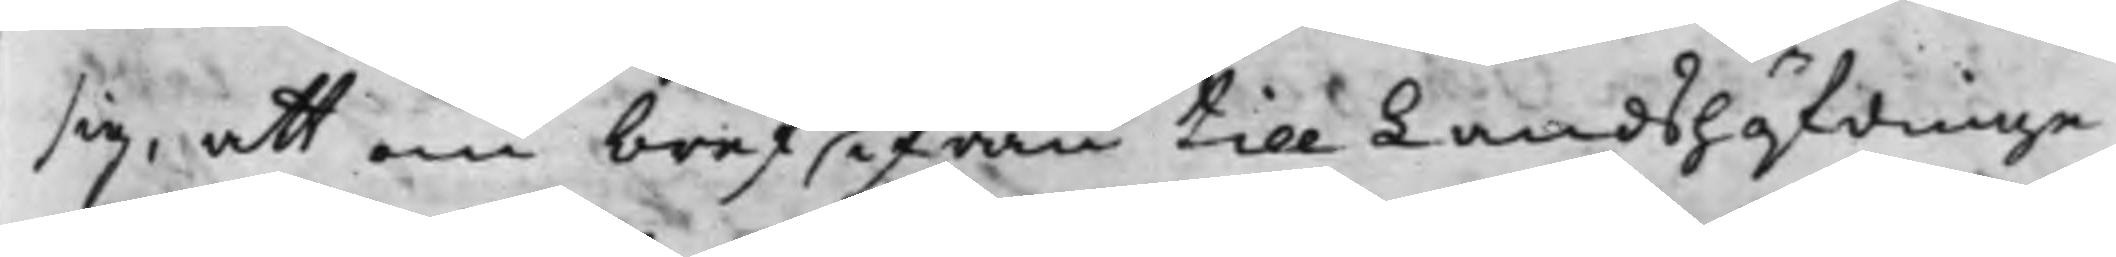sig, att om bref ifrån till Landshöfdinge¬
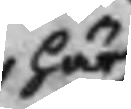här
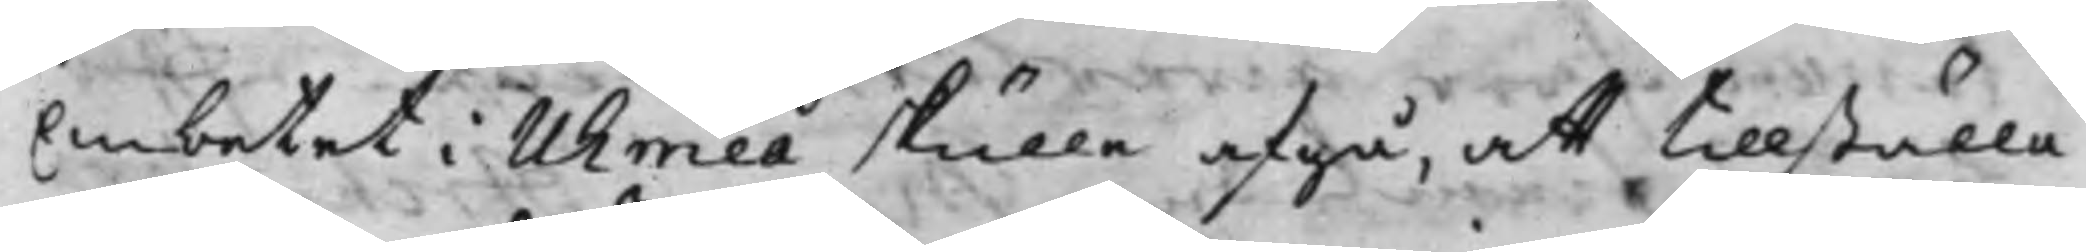Embetet i Uhmeå skulle afgå, att tillställa
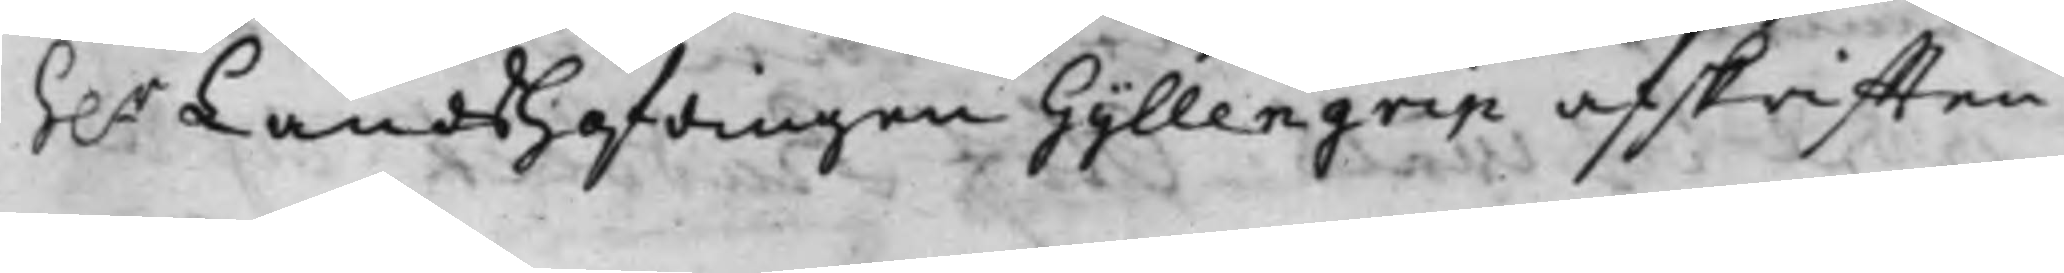h.r Landshöfdingen Gyllengrip afskrifften
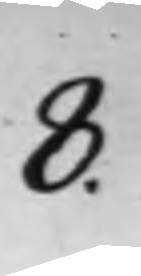8.
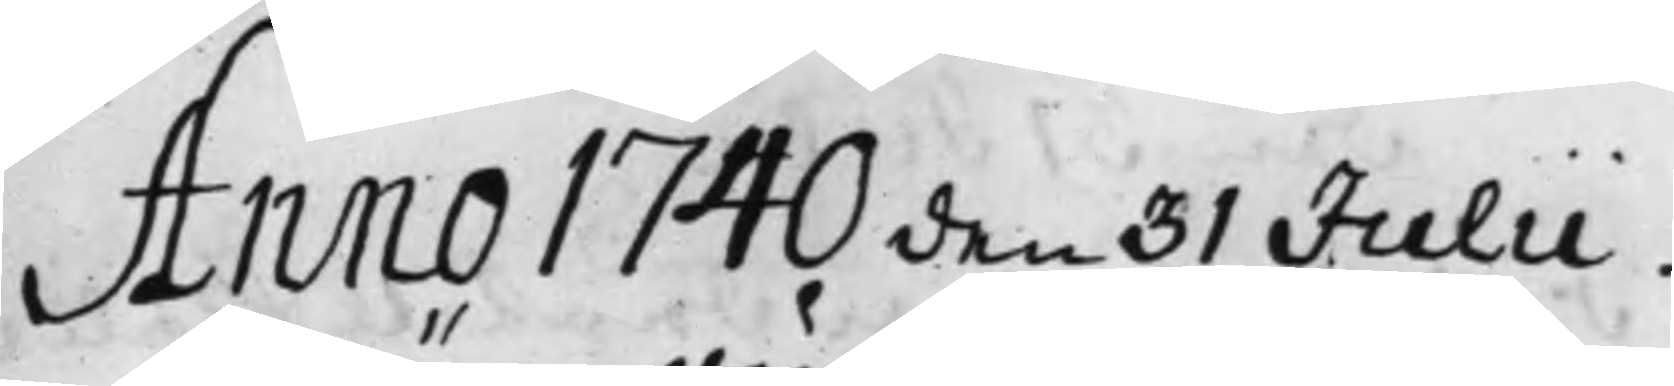Anno 1740 den 31 Julii.
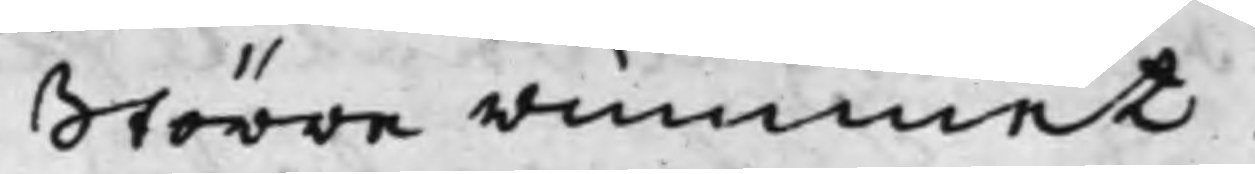Större rummet.
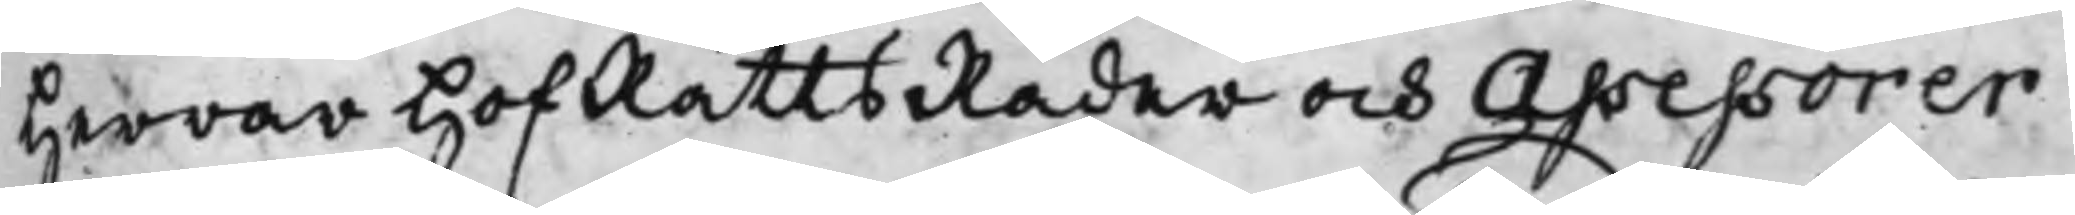Herrar HofRättsRåder och Assessorer
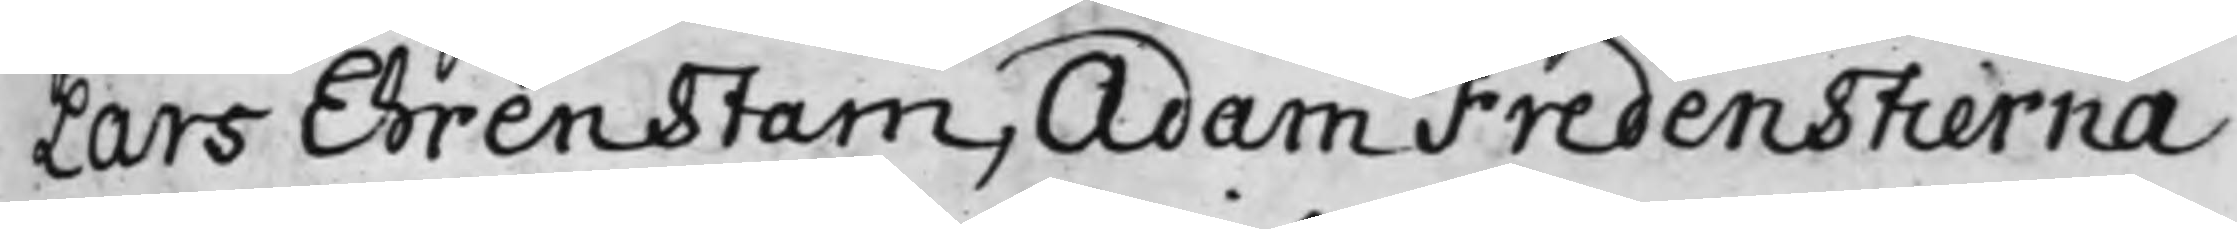Lars Ehrenstam, Adam Fredenstierna
